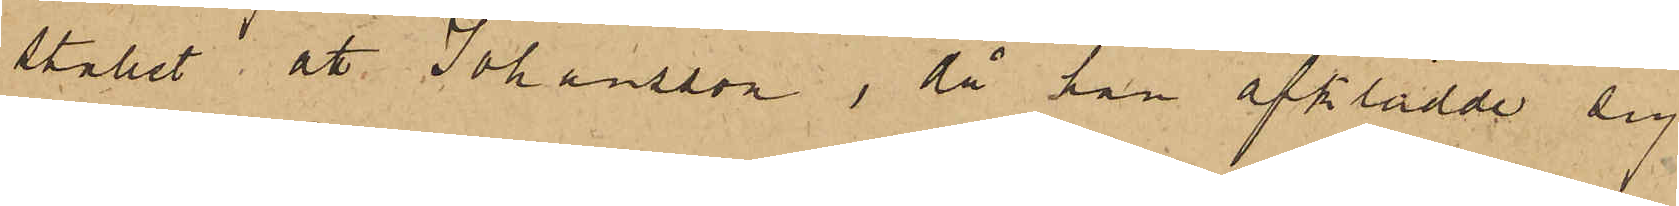stallet att Johansson, då han afklädde sig
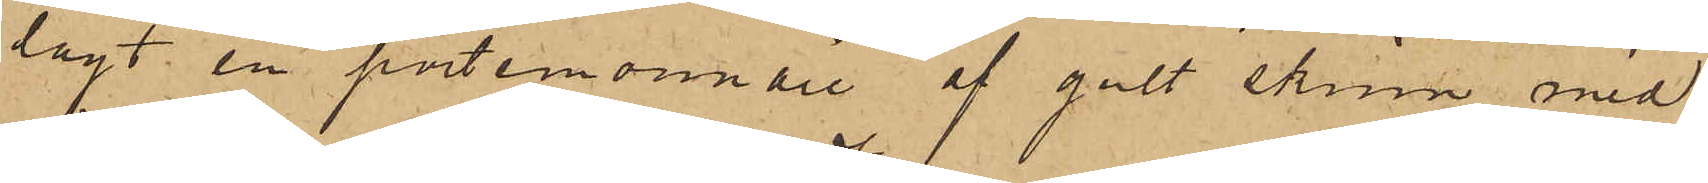lagt en portemonnaie af gult skinn med
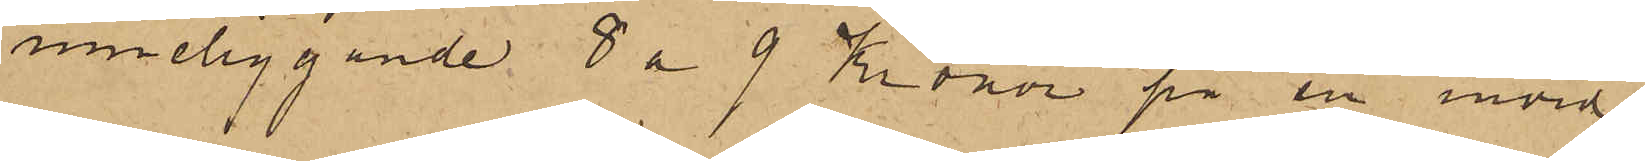inneliggande 8 a 9 Kronor på en invid
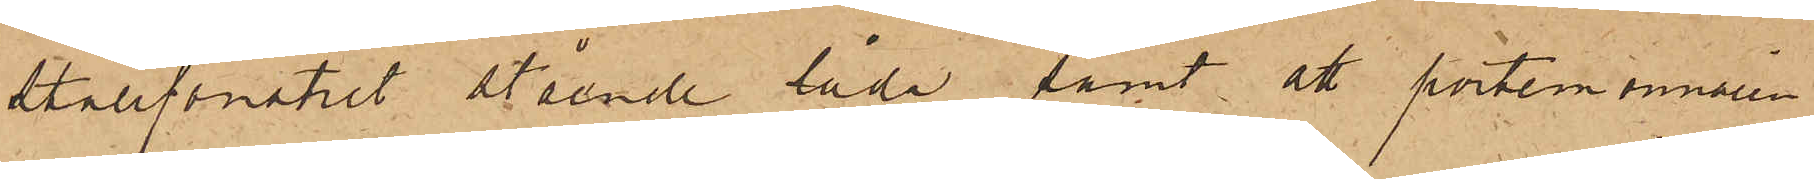stallfönstret stående låda, samt att portemonnaien
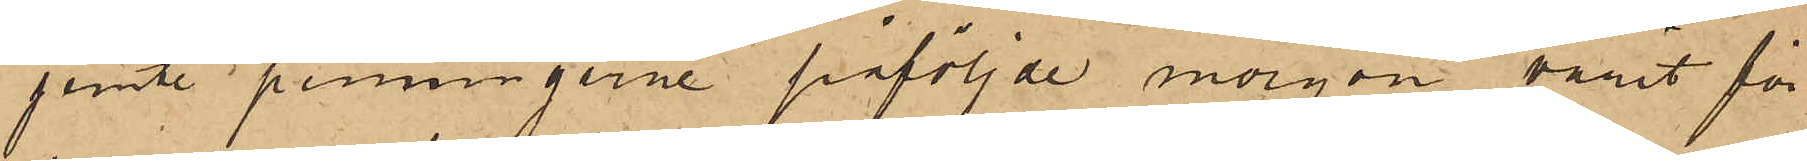jemte penningarne påföljde morgon varit för¬
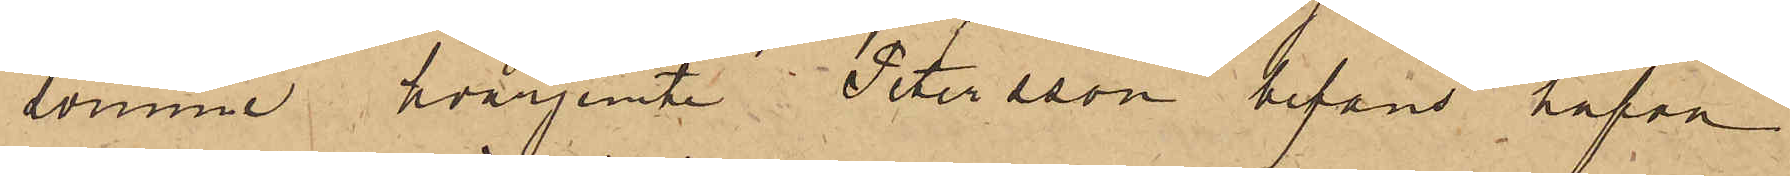svunne hvarjemte Petersson befanns hafva
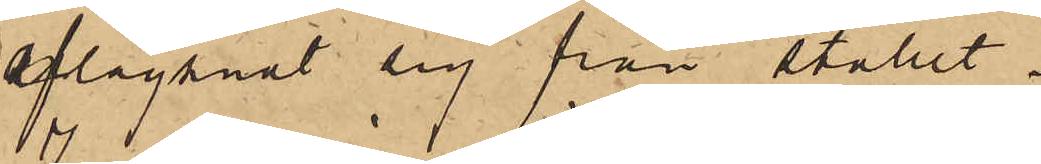aflägsnat sig från stallet.
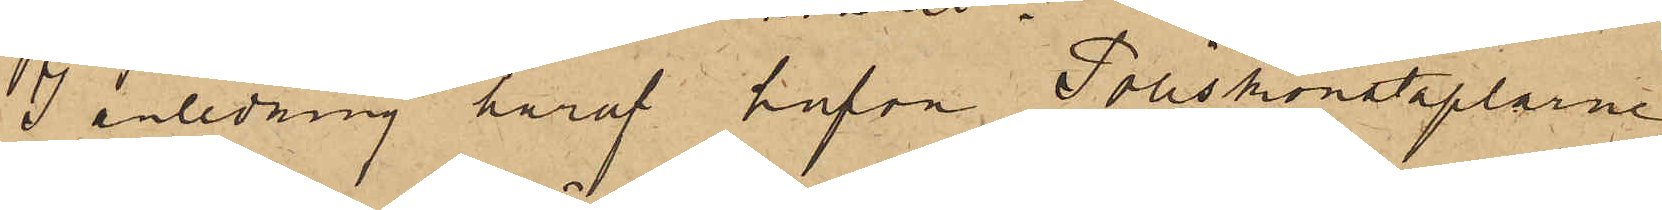I anledning häraf hafva Poliskonstaplarne
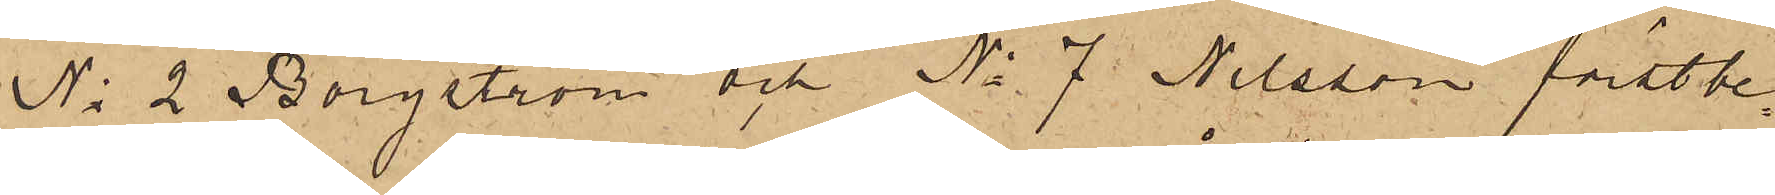No 2 Borgström och No 7 Nilsson förstbe¬
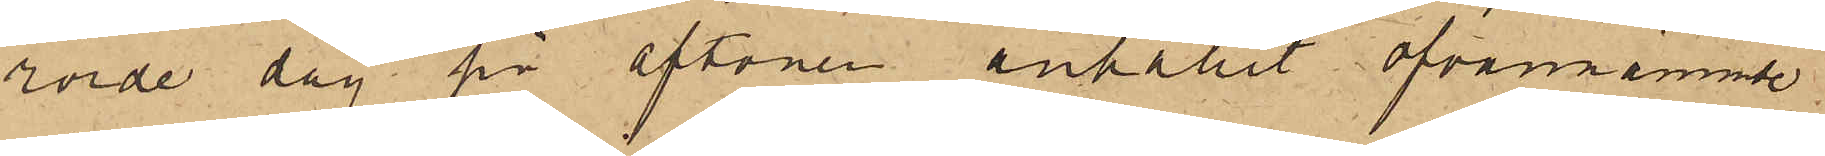rörde dag på aftonen anhållit ofvannämnde
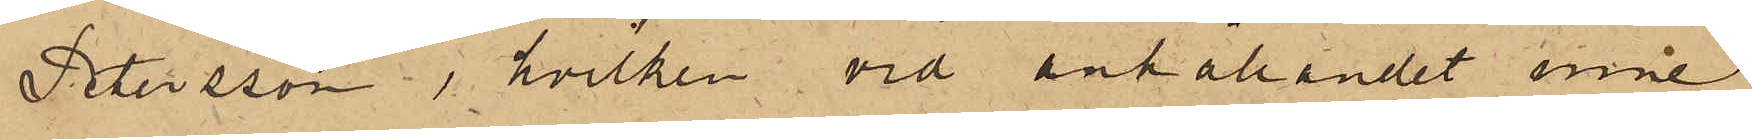Petersson, hvilken vid anhållandet inne¬
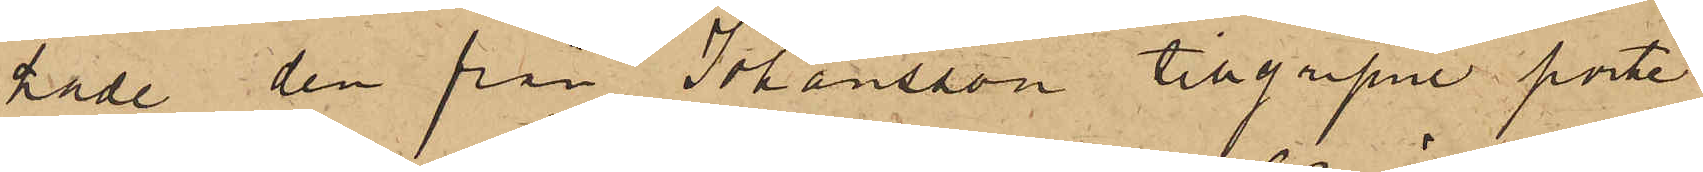hade den från Johansson tillgripne porte¬
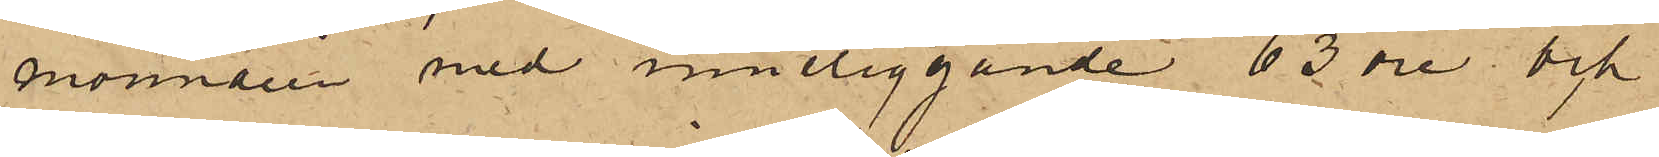monnaien med inneliggande 63 öre; och
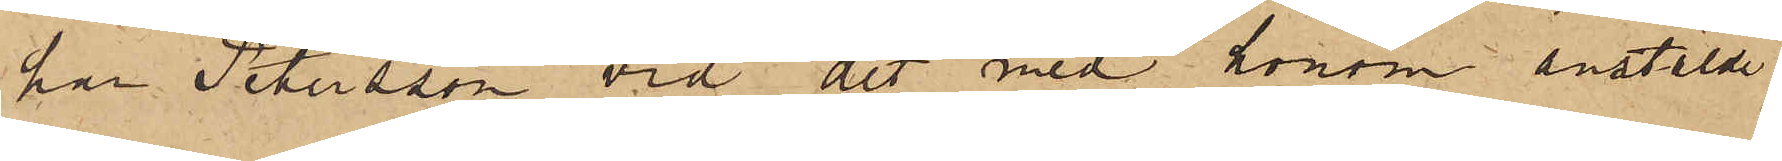har Petersson vid det med honom anstälde
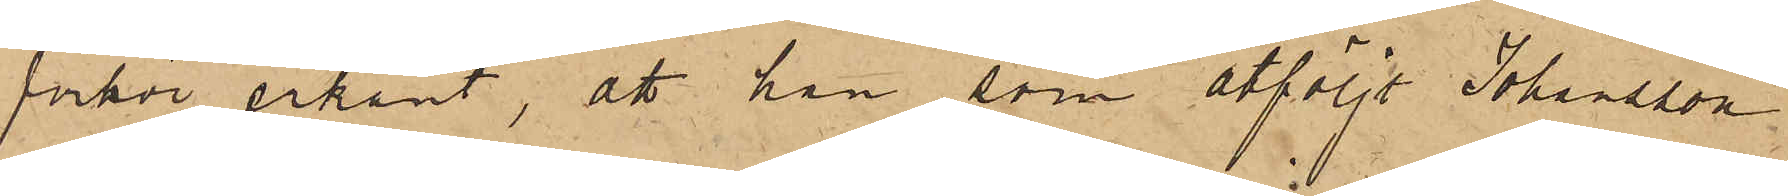förhör erkänt, att han, som åtföljt Johansson
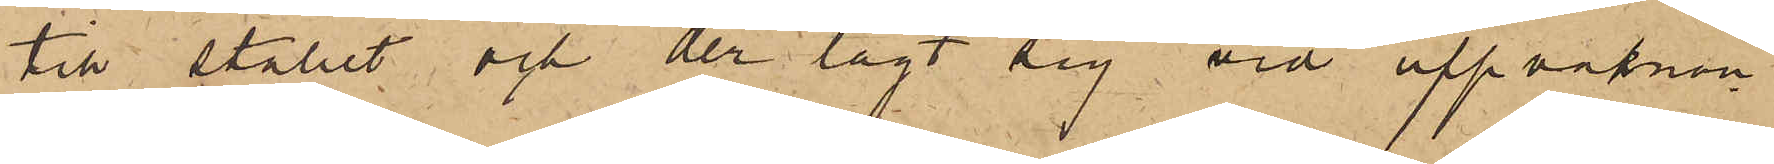till stallet och der lagt sig vid uppvaknin¬
